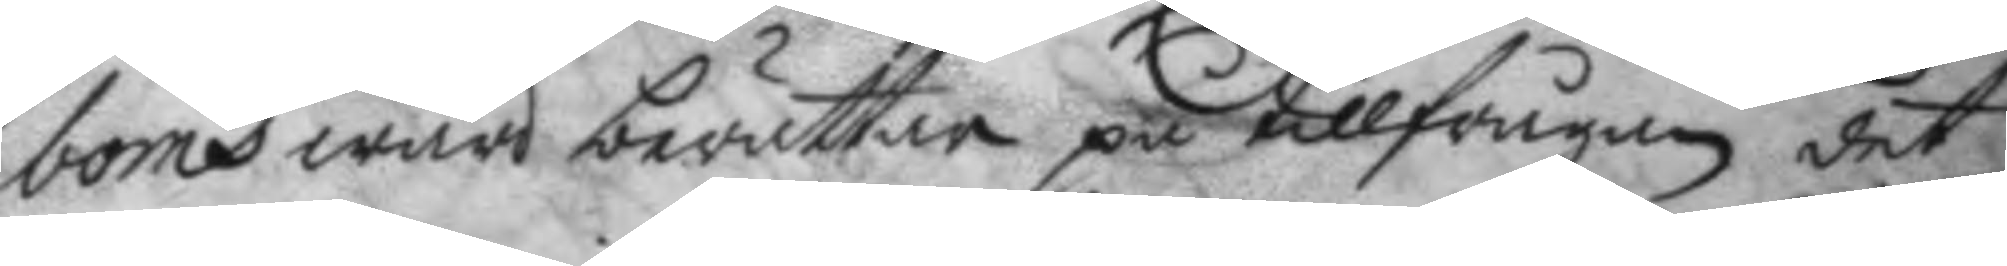boms wärd berättar på tillfrågan det
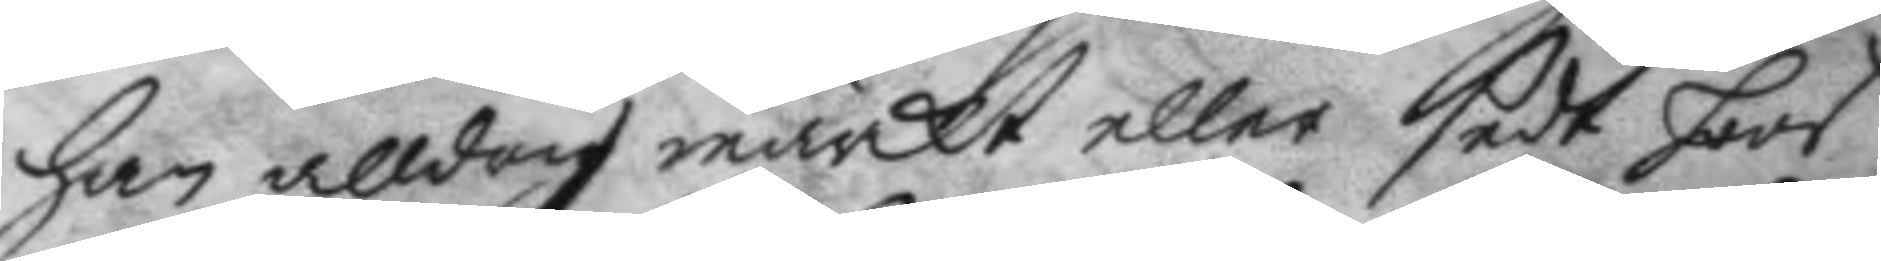han alldrig märkt eller sedt hoos
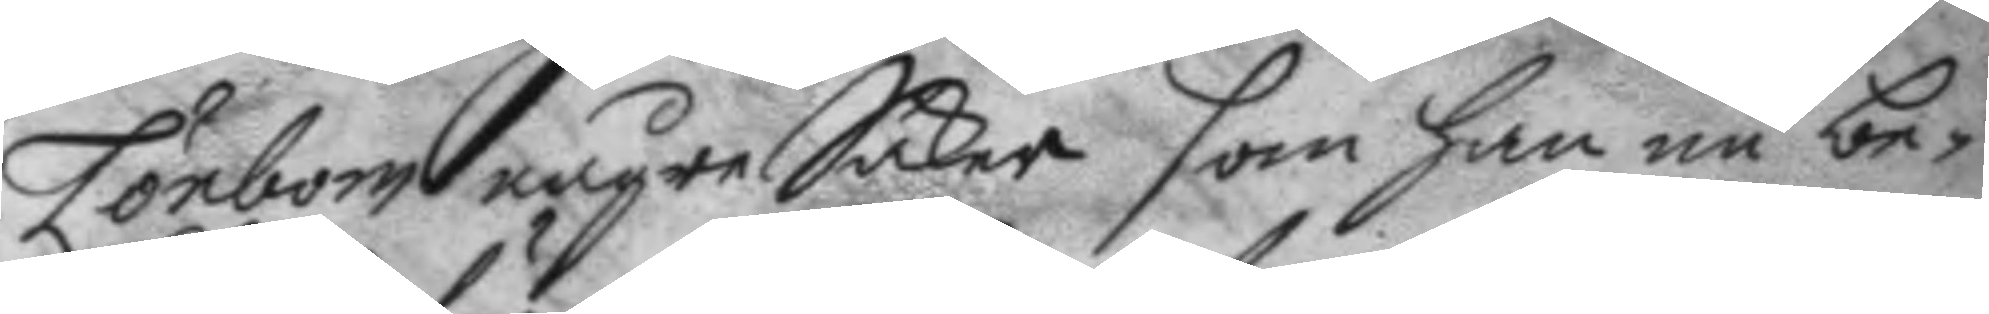Lönbom någre Saker som han nu be¬
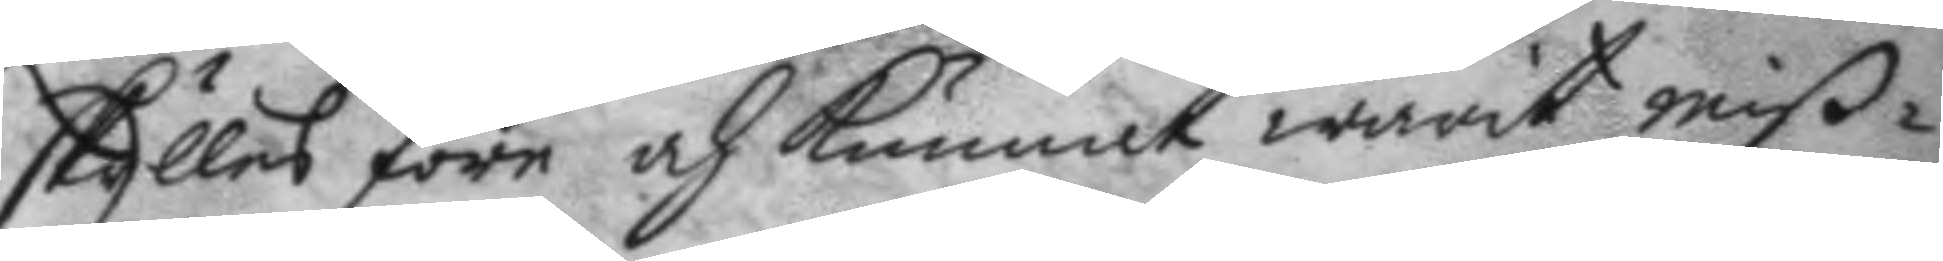skylles före och kunnat warit miß¬
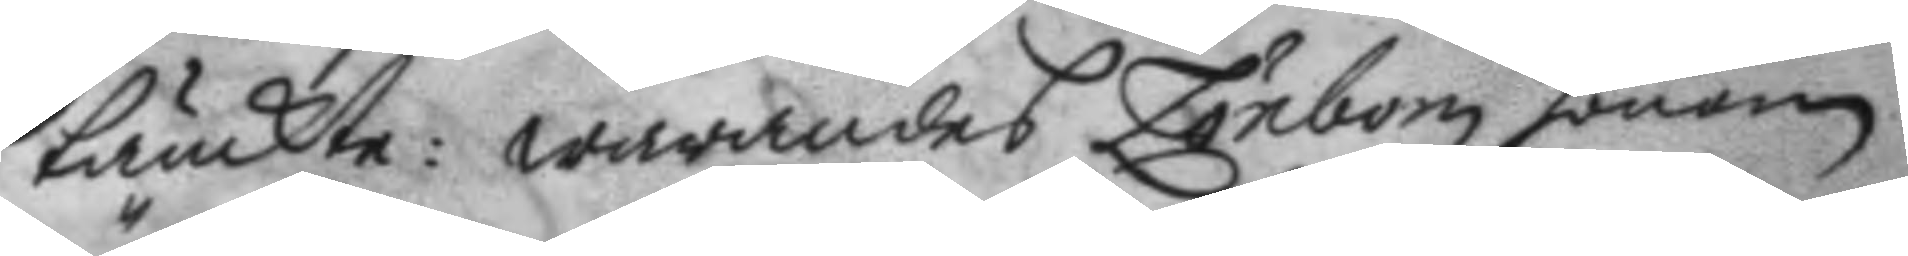tänckte: warandes Lönbom honom.
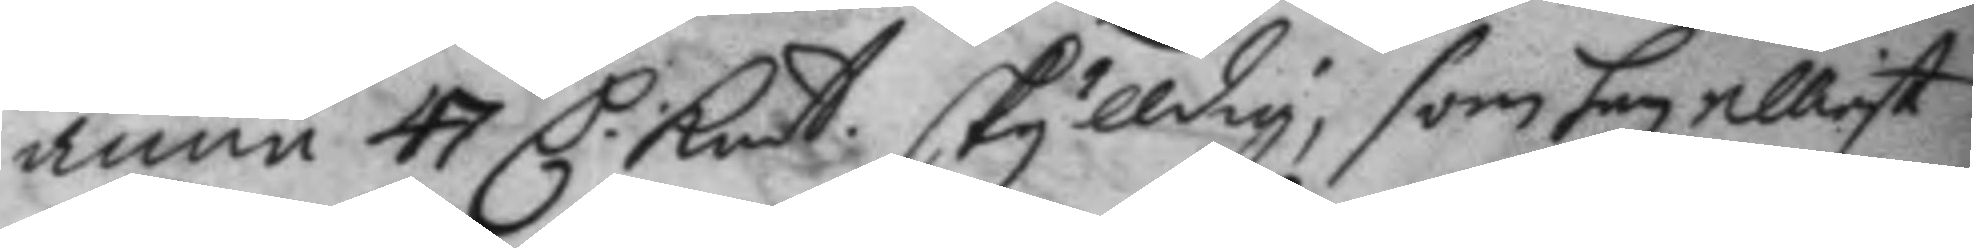ännu 47 C: Kmt skylldig, som han elliest 
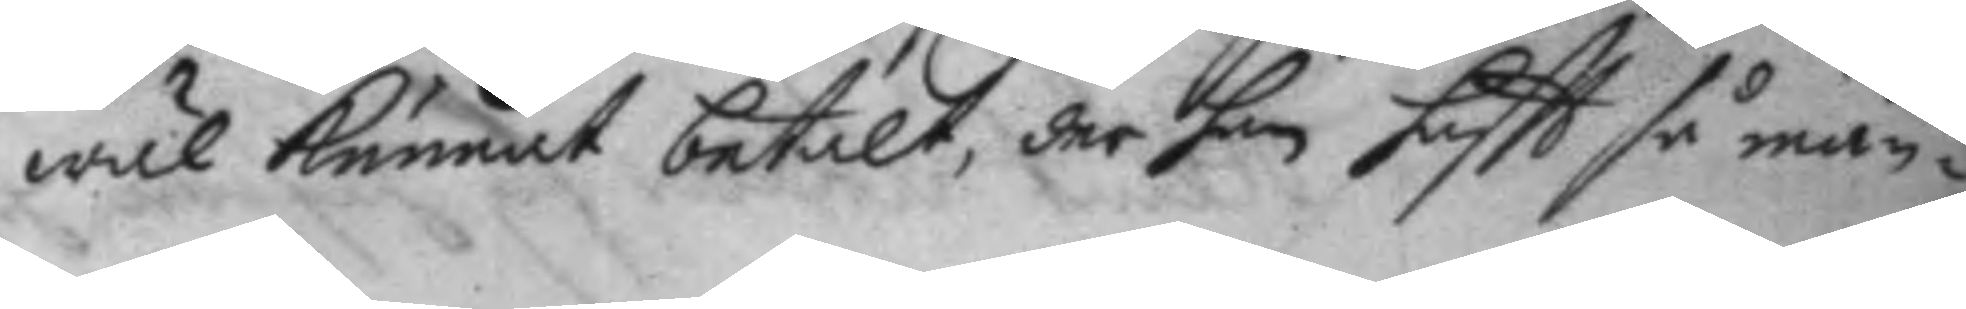wäl kunnat betalt, der han haftt så mån¬
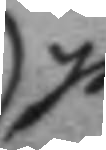ge
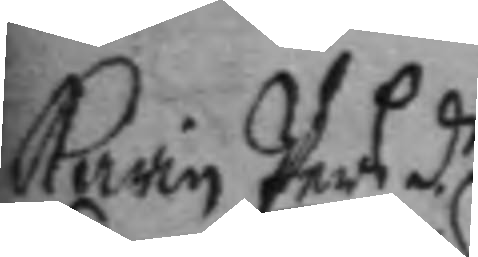Karin Pers d.r 
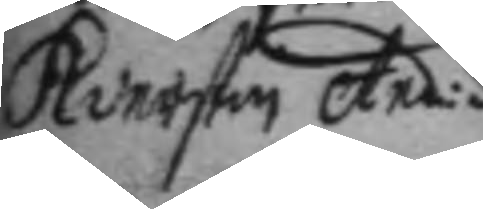Kiersten And:d.r 
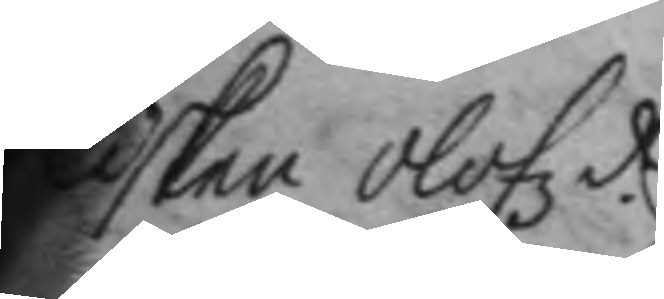Lisken Olofz d.r 
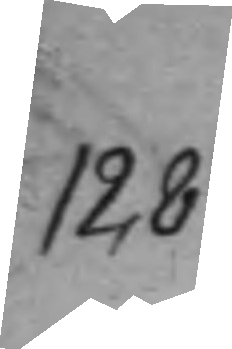128.
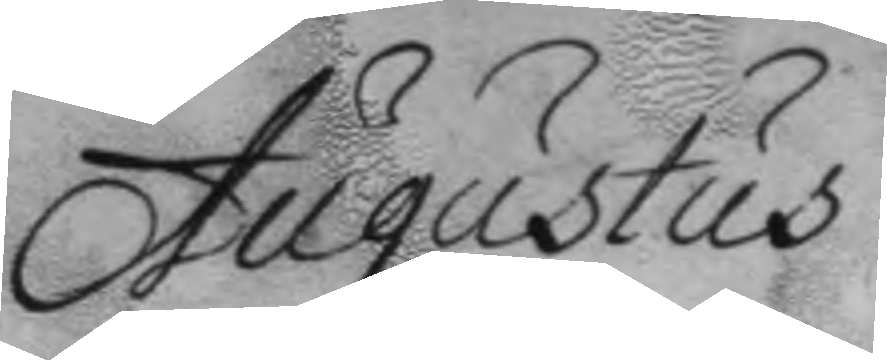Augustus
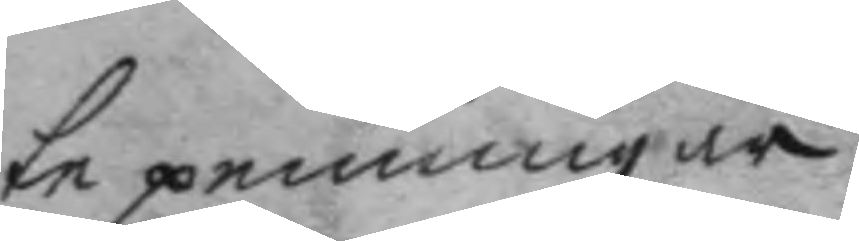te penningar.
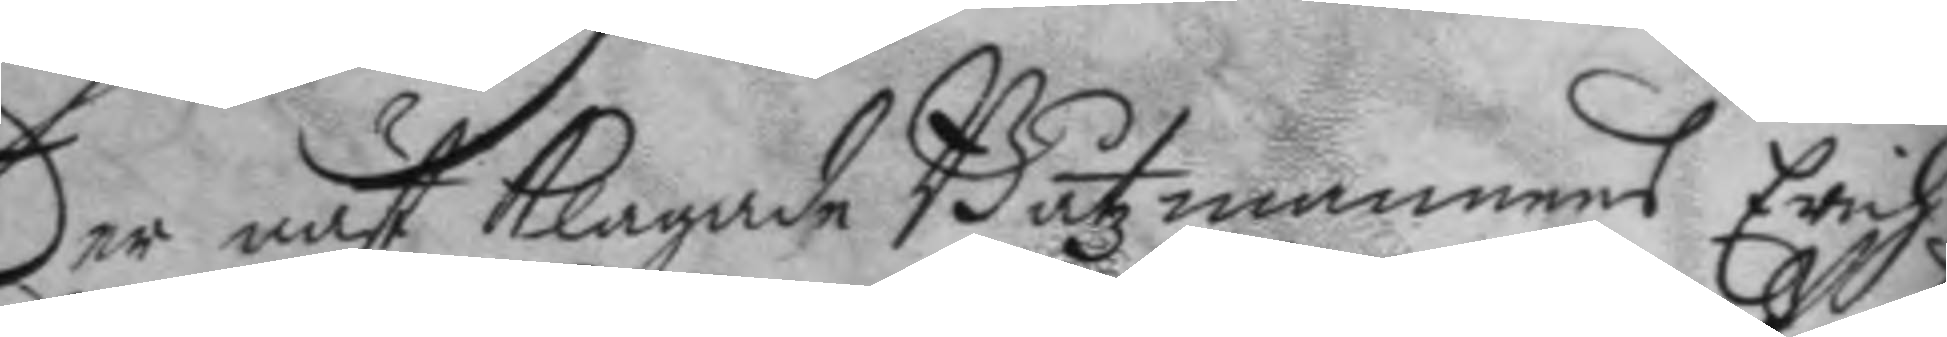Der näst klagade Båtzmannens Erich
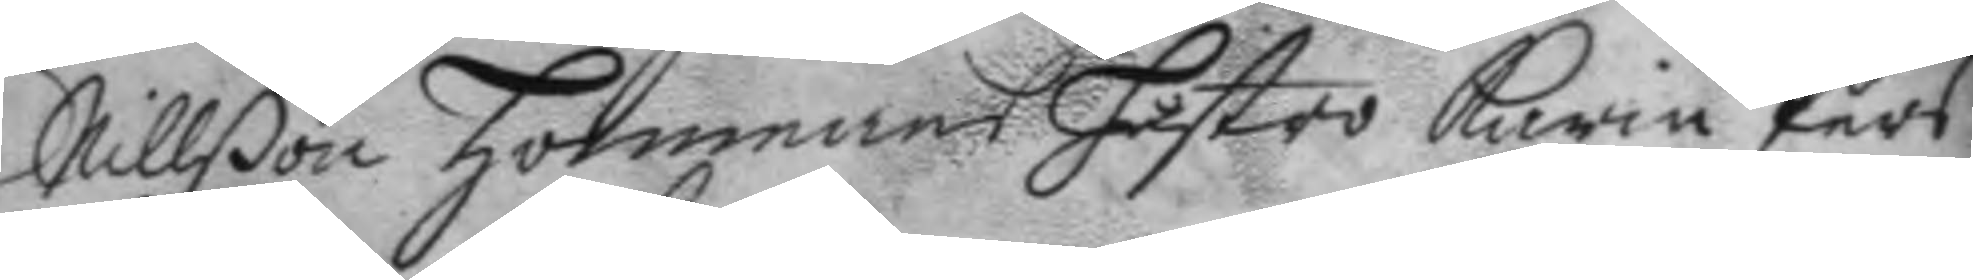Nillßon hommans hustro Karin Pers¬
